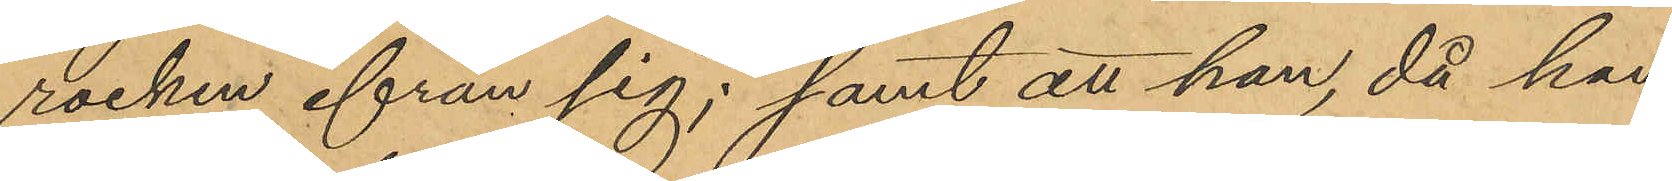rocken ifrån sig; samt att han, då han
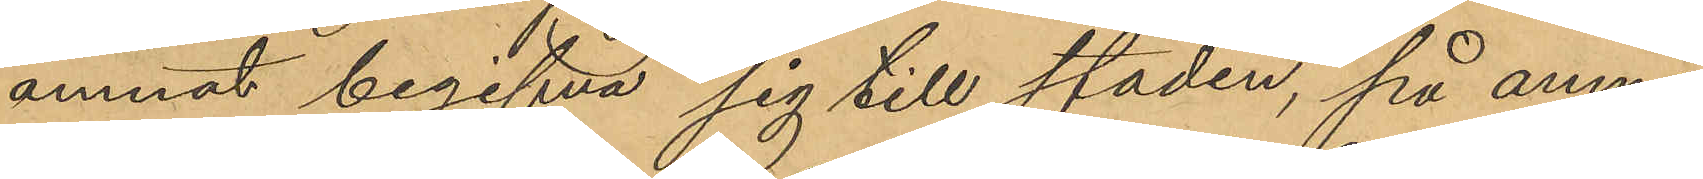ämnat begifva sig till staden, på anmä¬
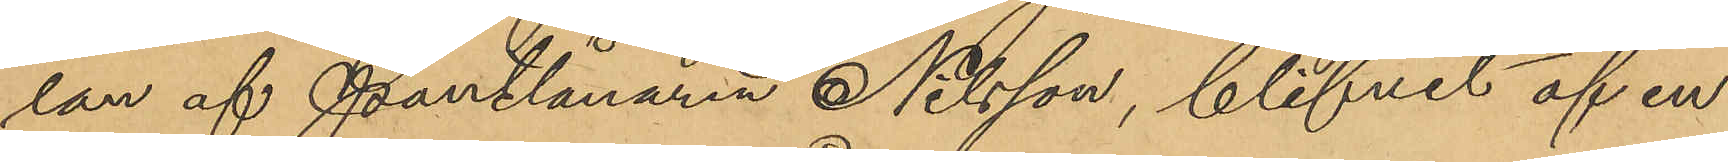lan af Pantlånaren Nilsson, blifvit af en
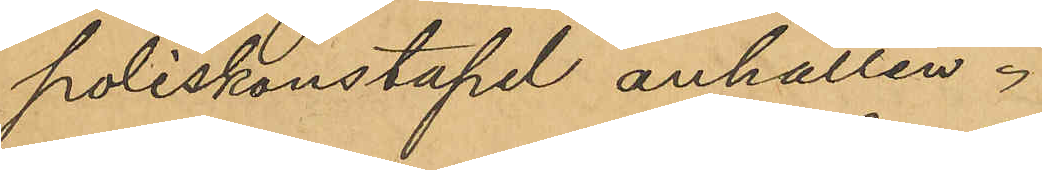poliskonstapel anhållen.
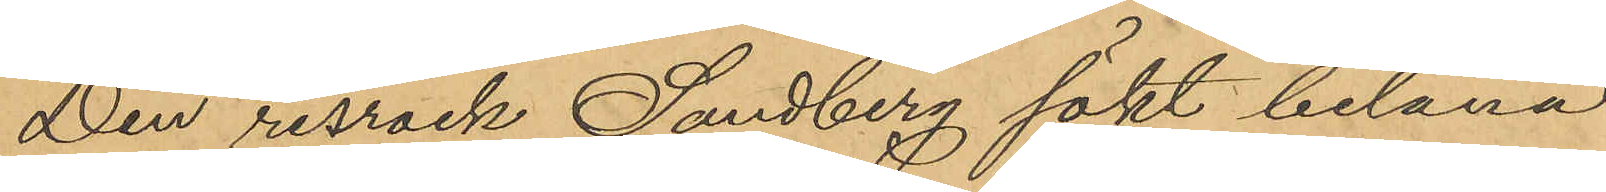Den resrock Sandberg sökt belåna
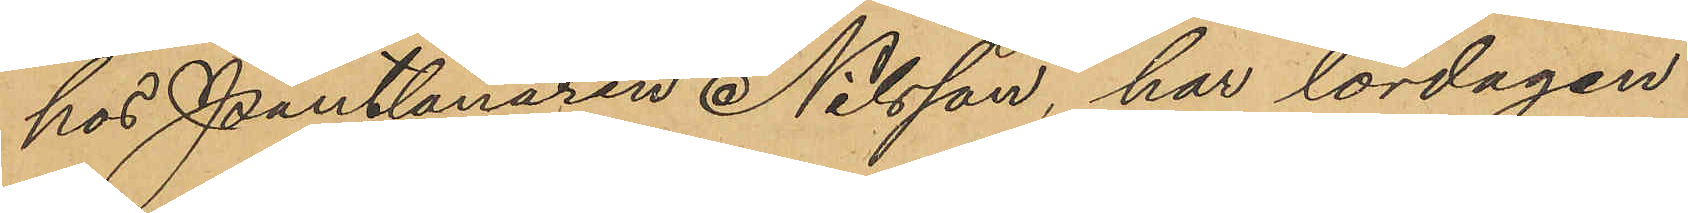hos Pantlånaren Nilsson, har lördagen
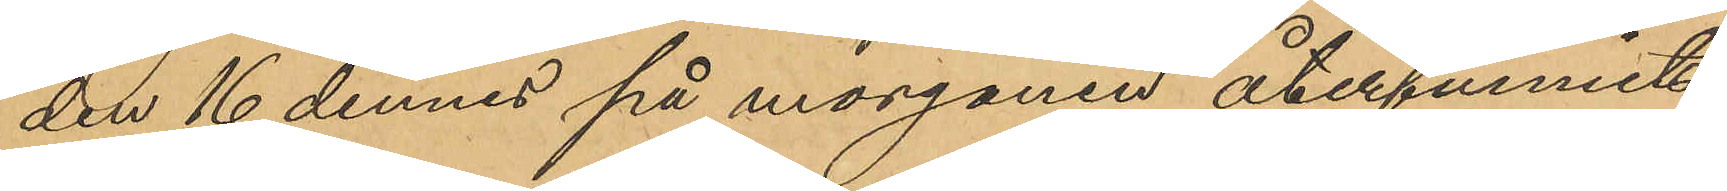den 16 dennes på morgonen återfunnits
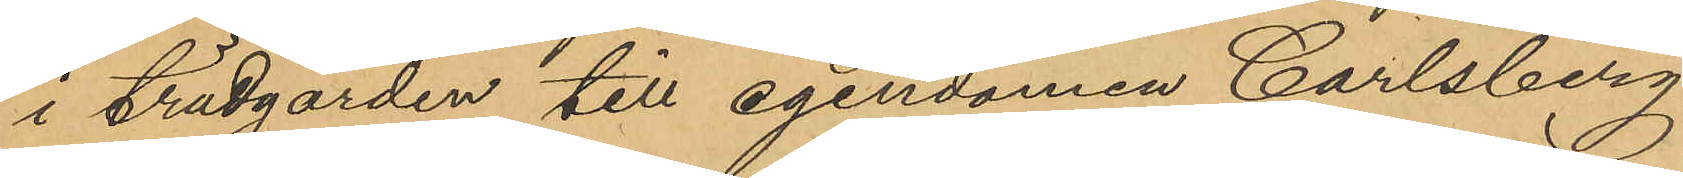i trädgården till egendomen Carlsberg
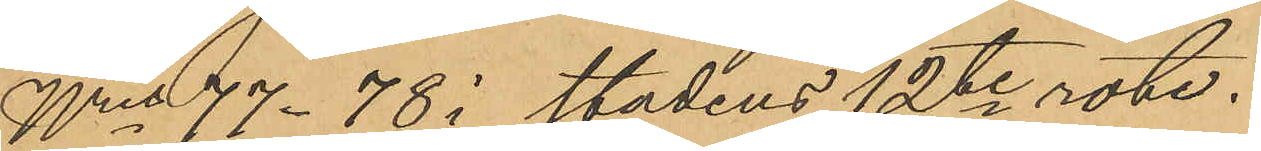Nris 77-48 i stadens 12te rote.
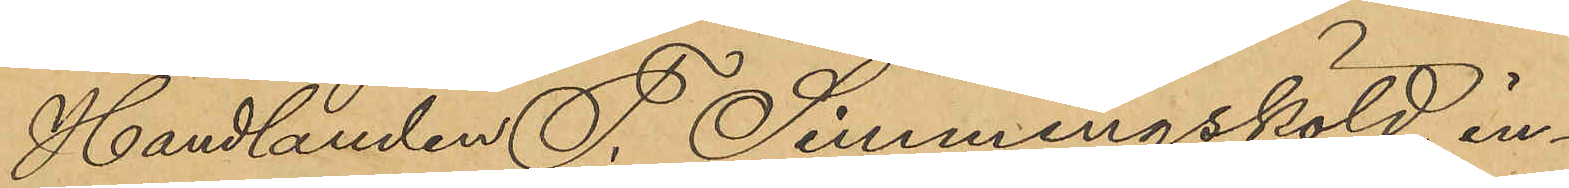Handlanden F. Sinmingsköld, in¬
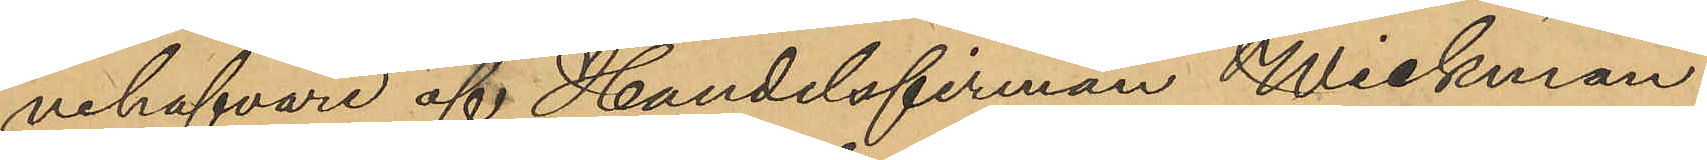nehafvare af Handelsfirman Wickman
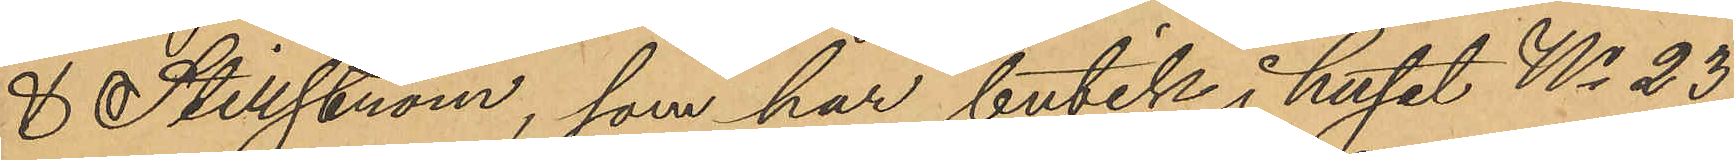& Stillström, som har butik i huset No 23
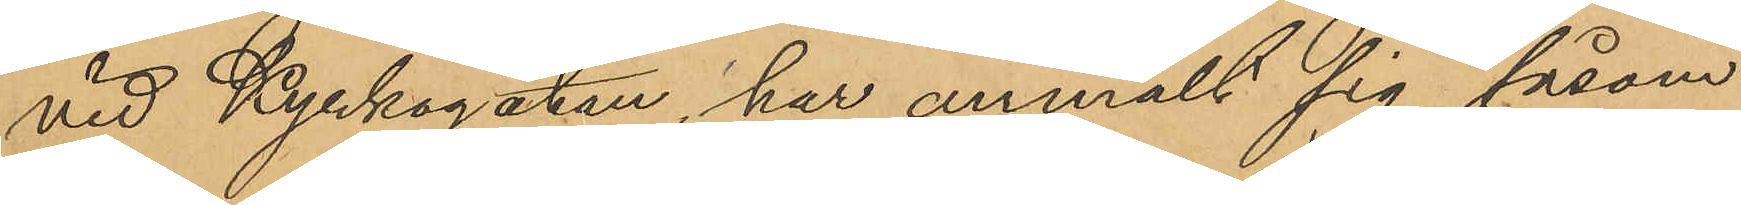vid Kyrkogatan, har anmält sig såsom
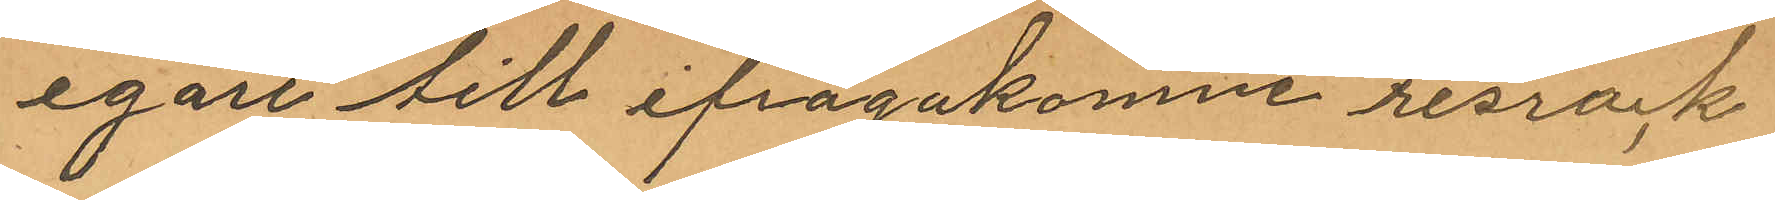egare till ifrågakomne resrock
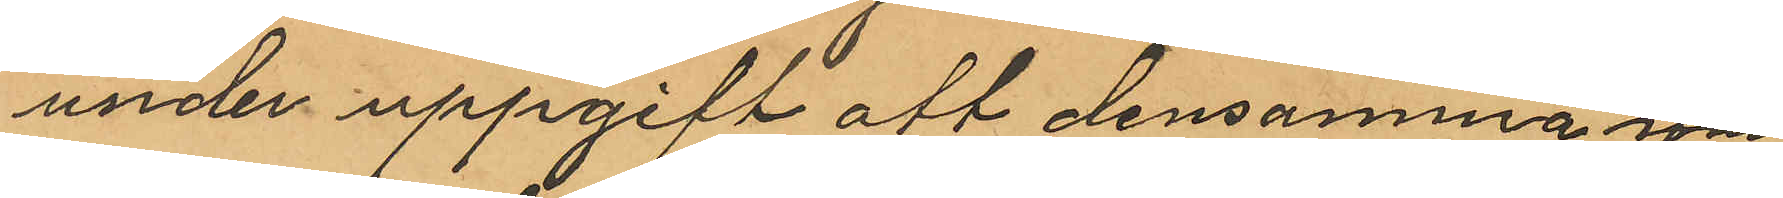under uppgift att densamma som
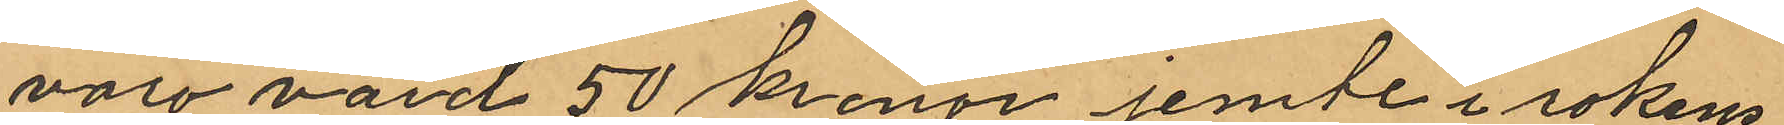vore värd 50 kronor jemte i rockens
